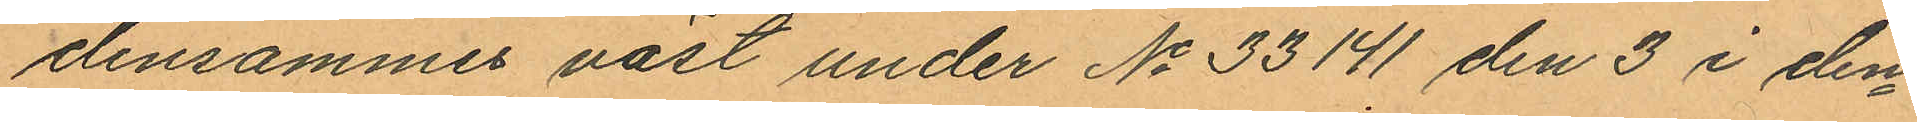densammes väst under No 33141 den 3 i den¬
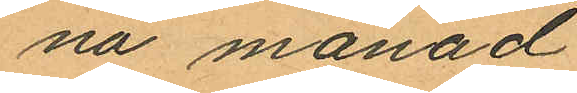na månad
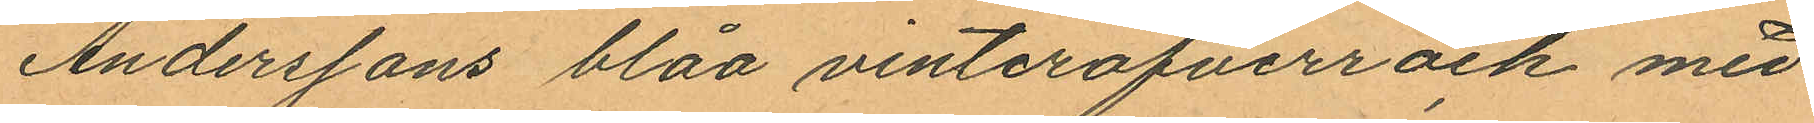Anderssons blåa vinteröfverrock med
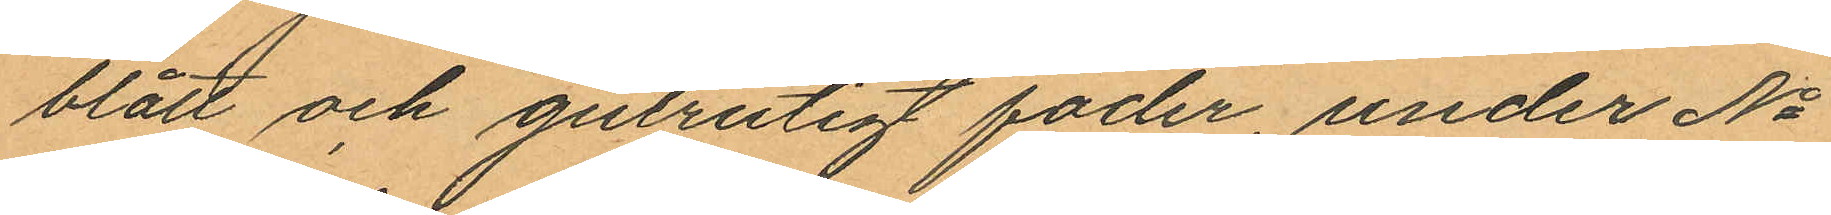blått och gulrutigt foder, under No
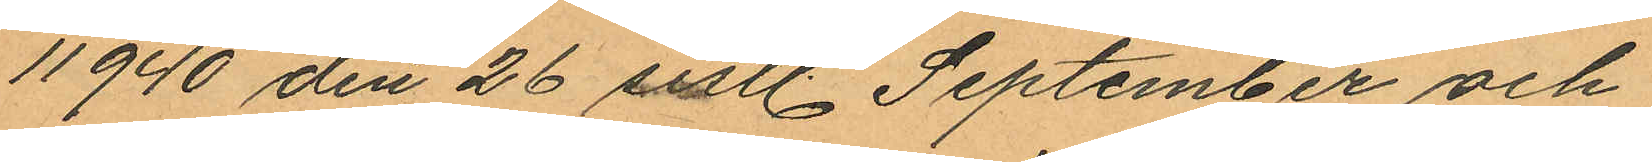11940 den 26 sistl. September och
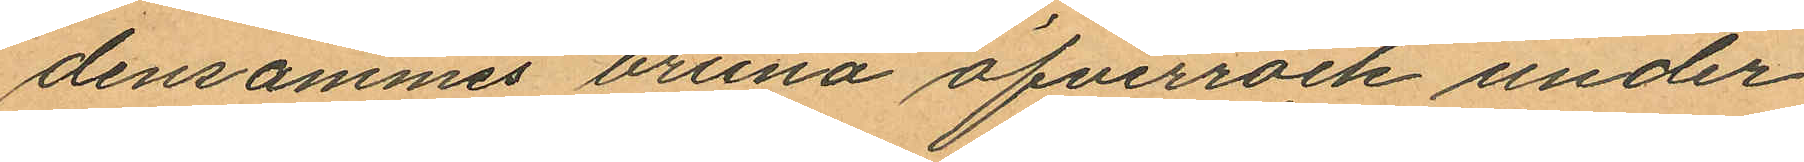densammes bruna öfverrock under
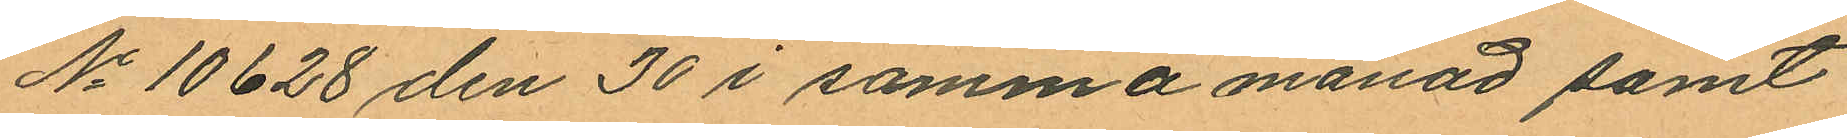No 10628 den 30 i samma månad samt
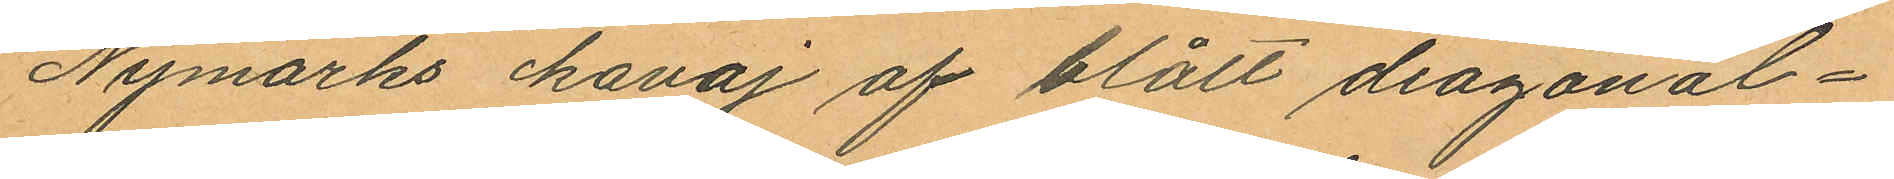Nymarks kavaj af blått diagonal¬
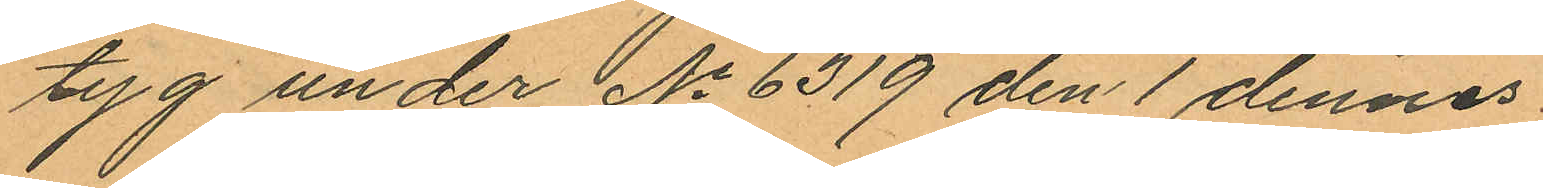tyg under No 6319 den 1 dennes
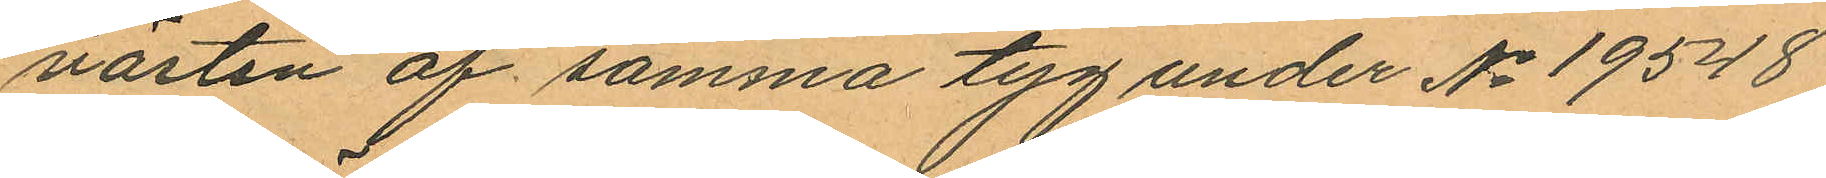västen af samma tyg under No 19548
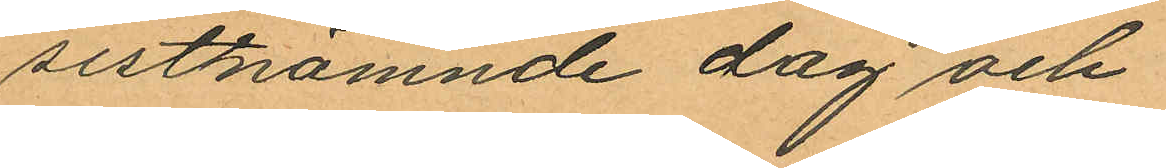sistnämnde dag och
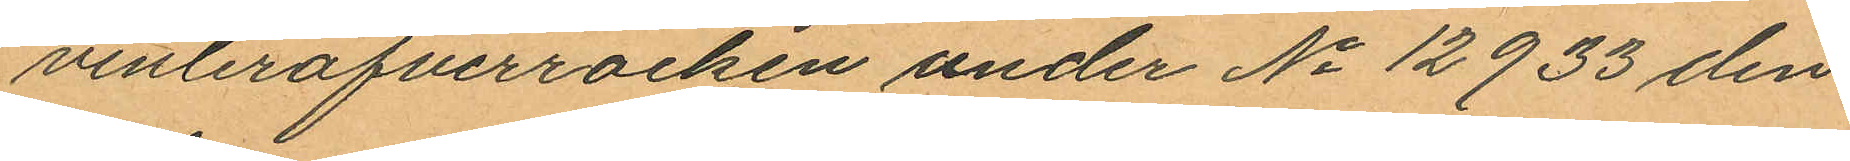vinteröfverrocken under No 12933 den
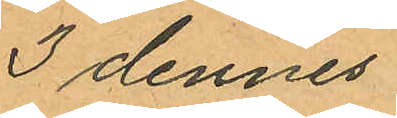3 dennes.
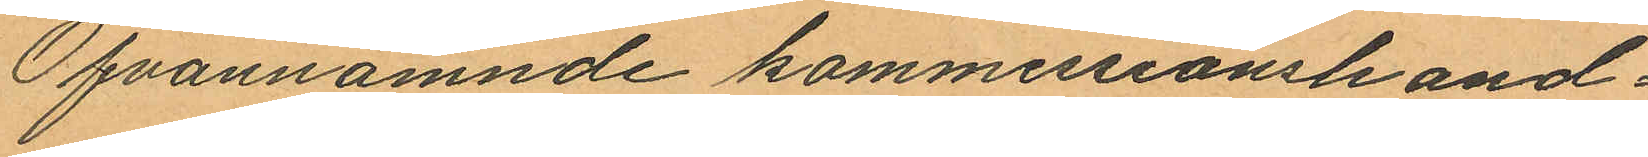Ofvannämnde kommissionshand¬
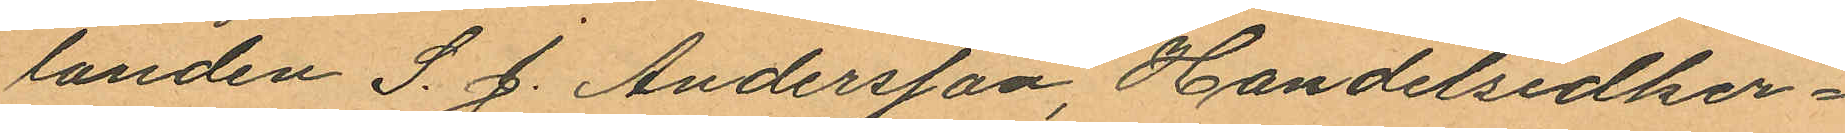landen S. J. Andersson, Handelsidker¬
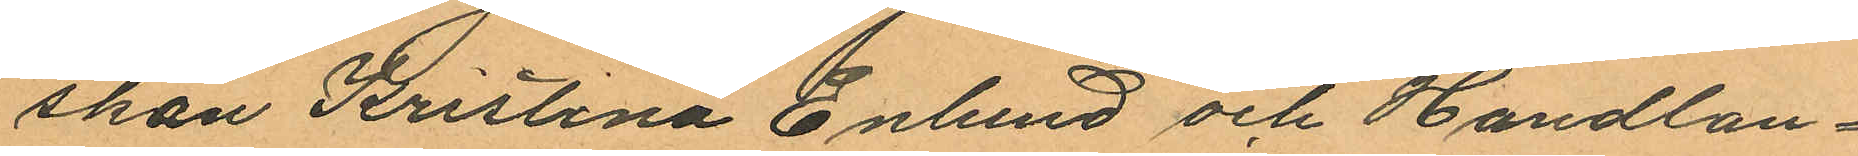skan Kristina Enlund och Handlan¬
